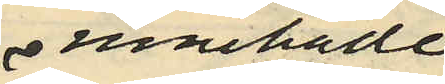innehade
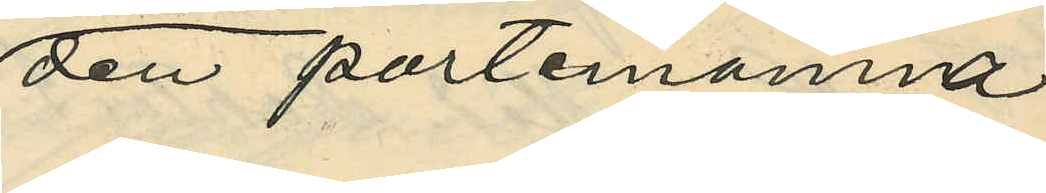den portemonnä
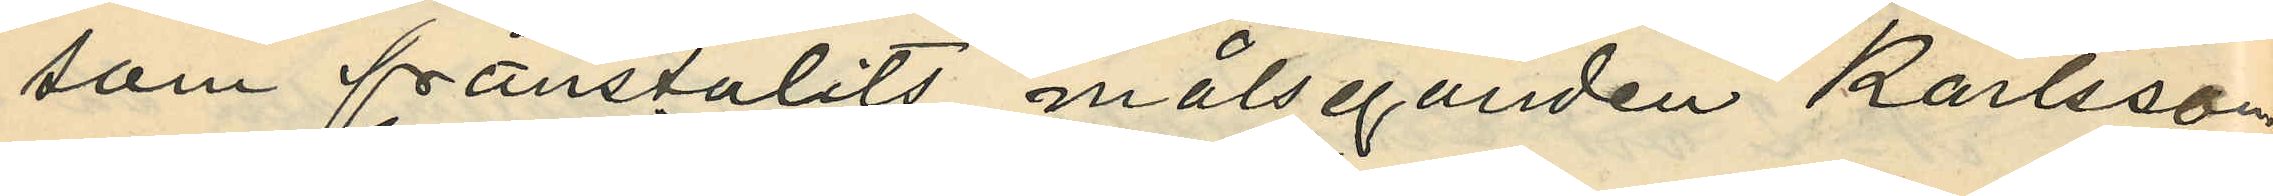som frånstulits målseganden Karlsson
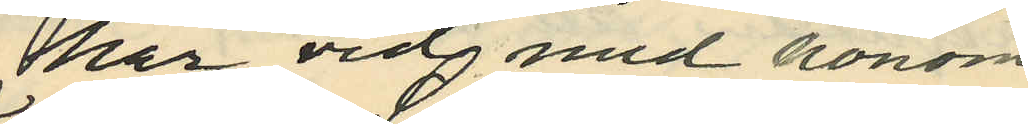har vid med honom
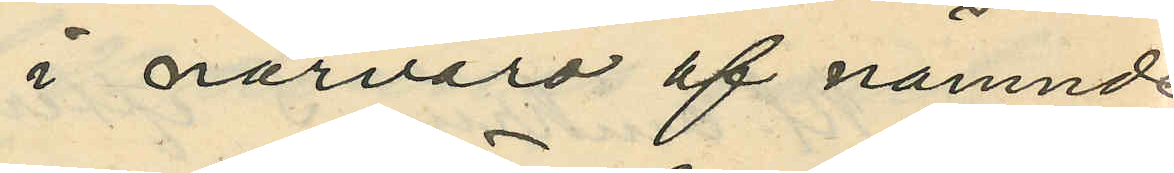i närvaro af nämnde
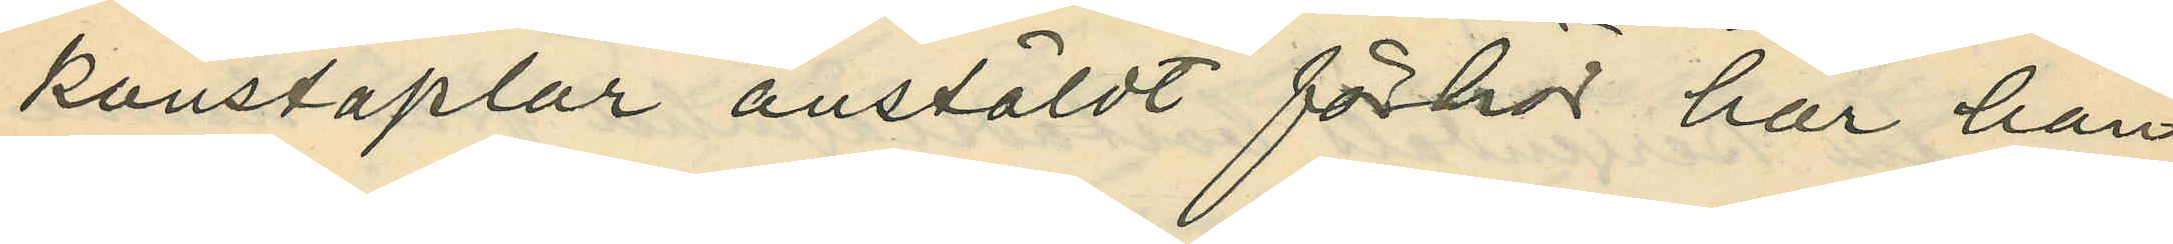konstaplar anstäldt förhör har han
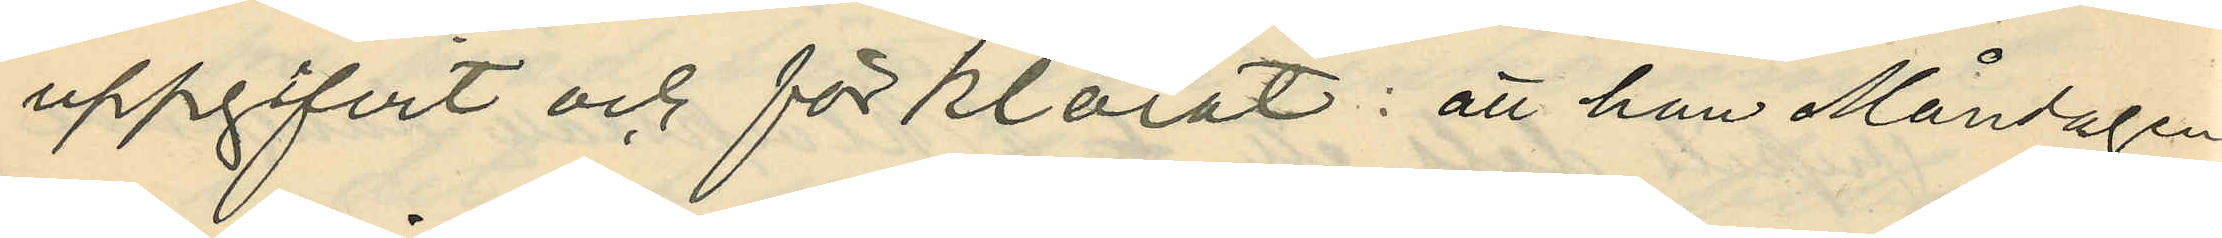uppgifvit och förklarat: att han Måndagen
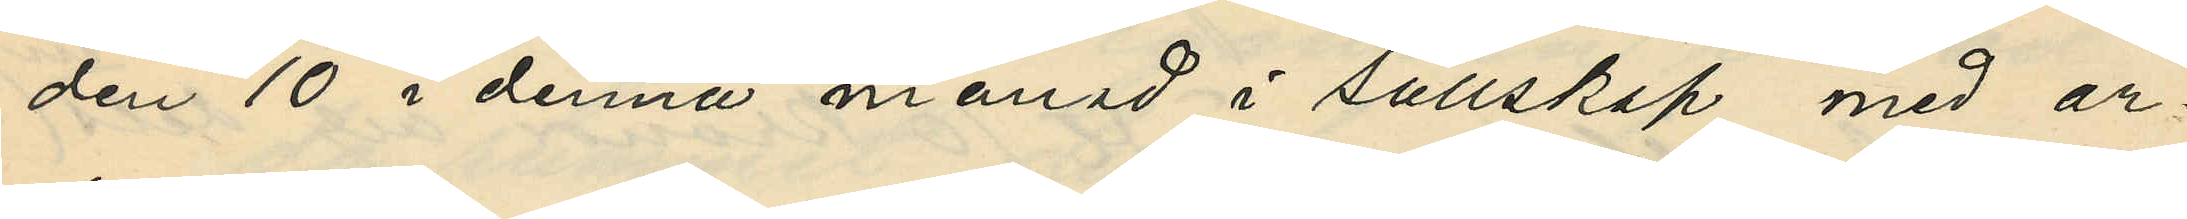den 10 i denna månad i sällskap med ar¬
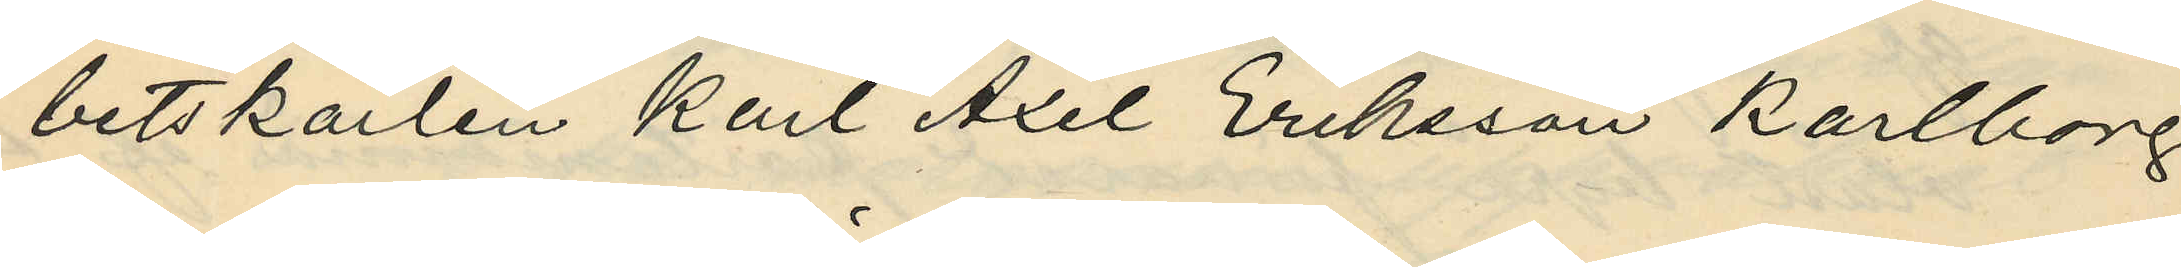betskarlen Karl Axel Eriksson Karlborg
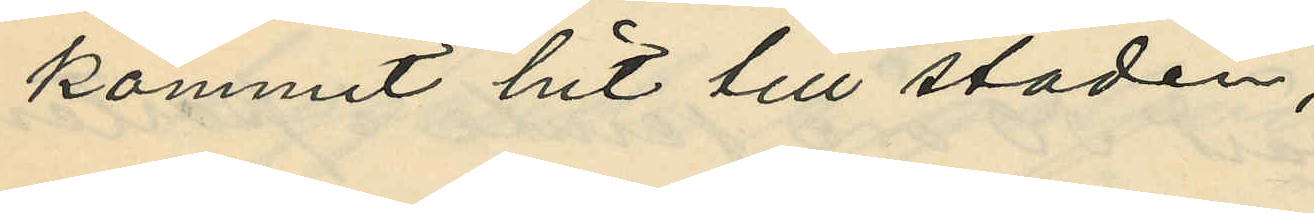kommit hit till staden;
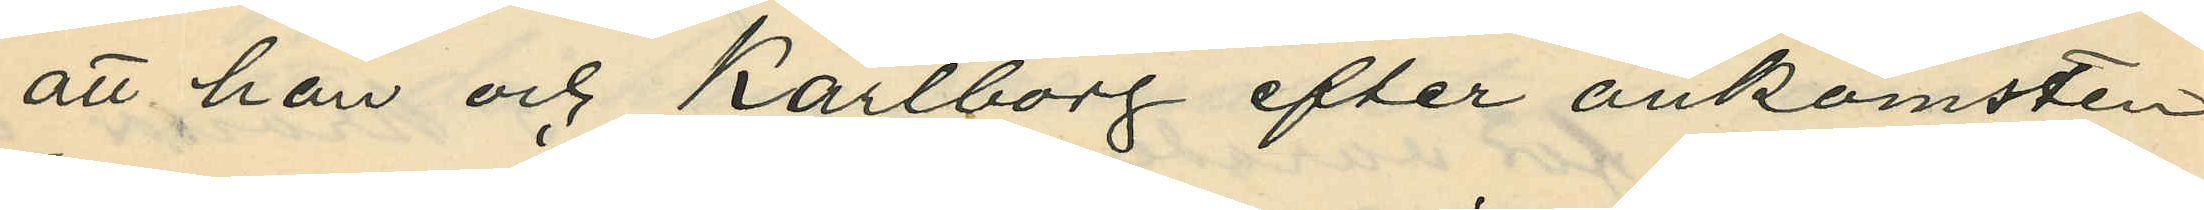att han och Karlborg efter ankomsten
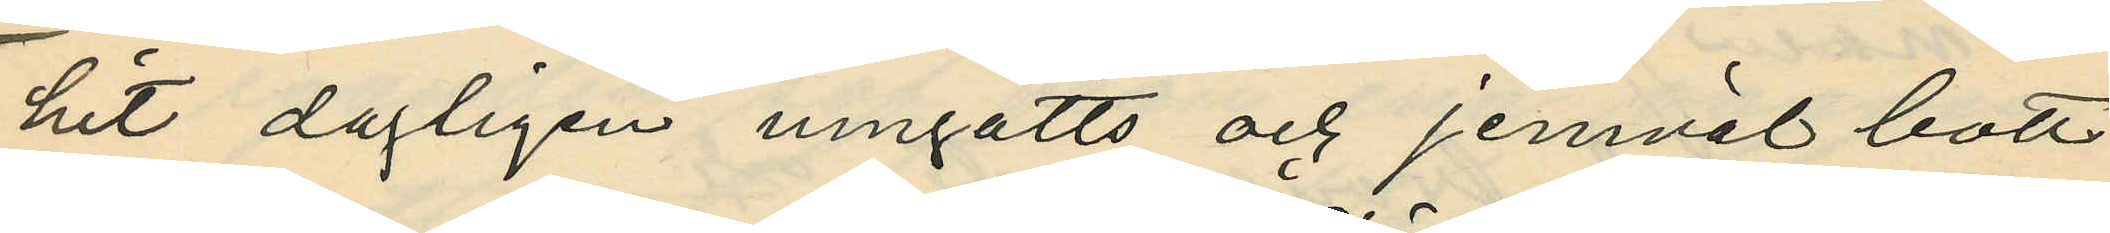hit dagligen umgåtts och jemväl bott
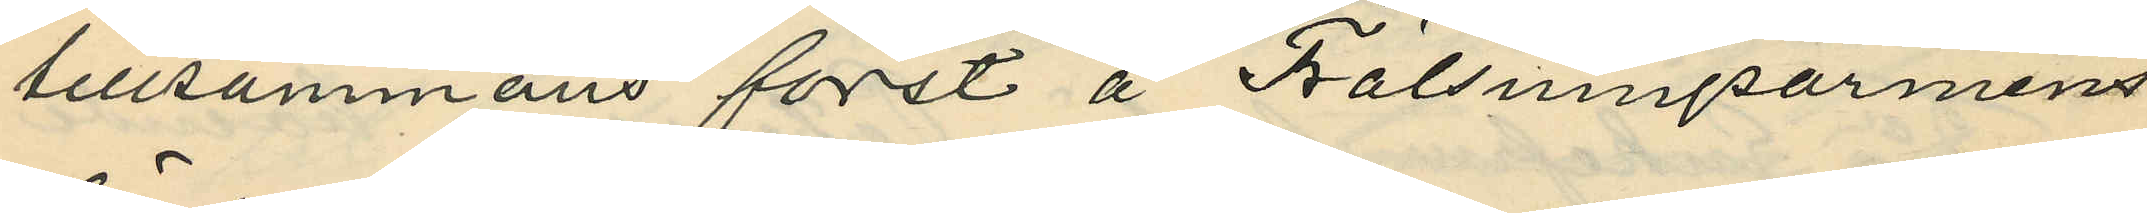tillsammans först å Frälsningsarmens
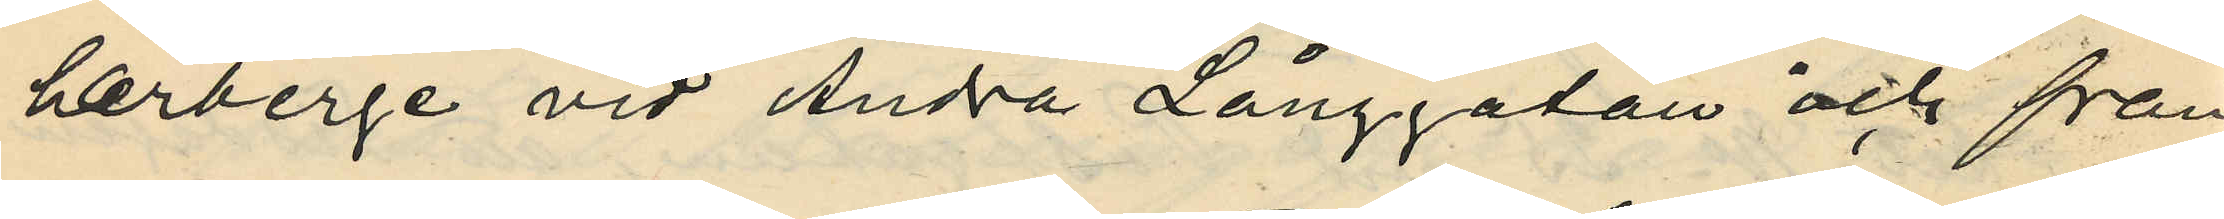härberge vid Andra Långgatan och från
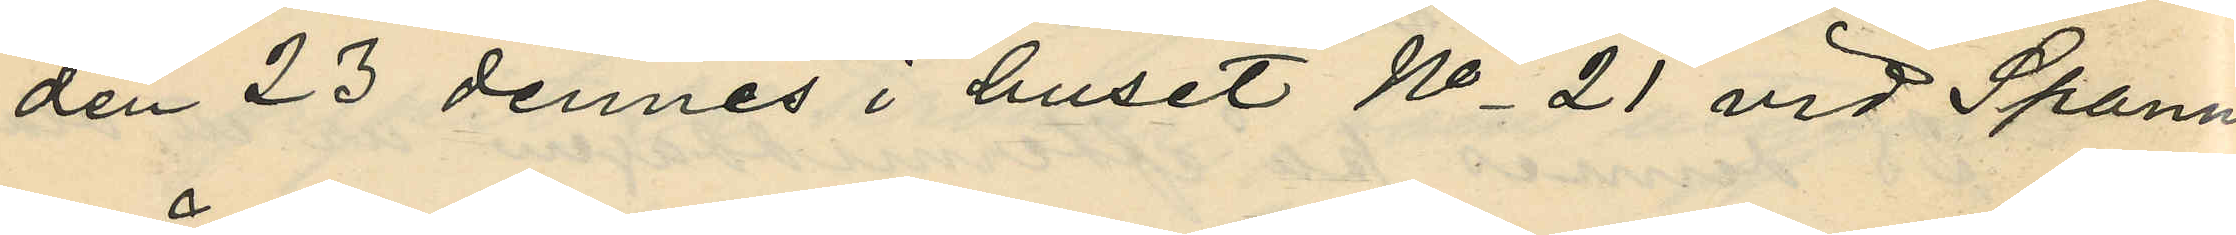den 23 dennes i huset No 21 vid Spann¬
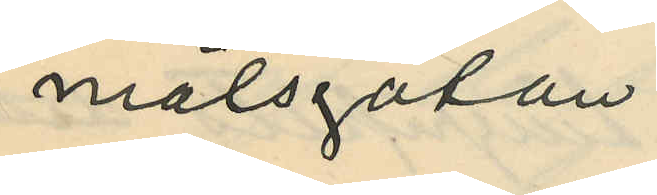målsgatan;
